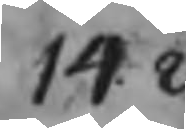14.2.
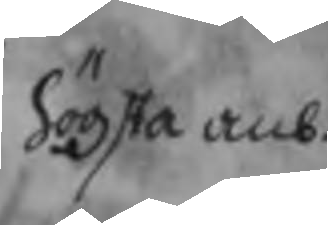högsta anb.
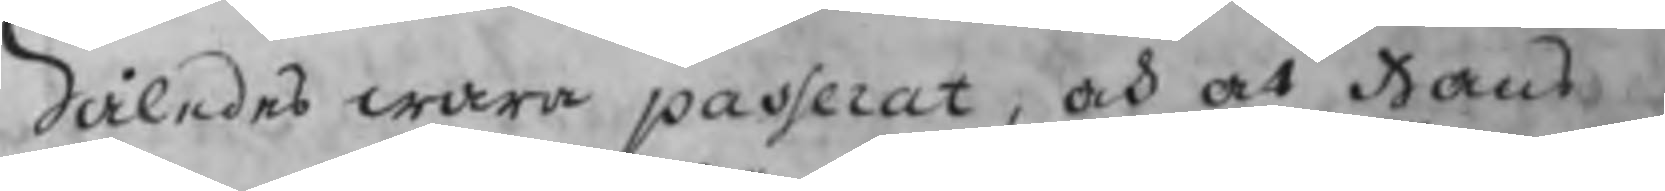Således wara passerat, och at Hans
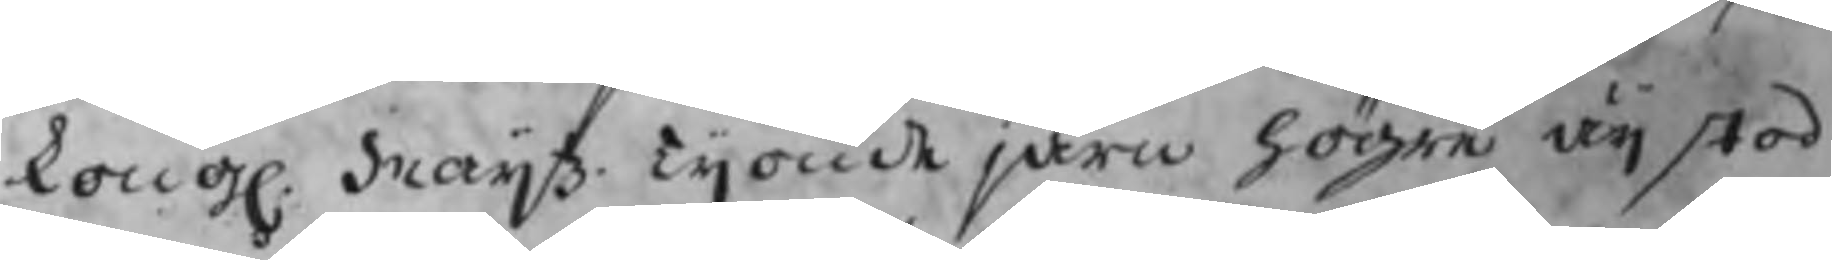kongl. Maijtz. tijonde järn högre äij stod
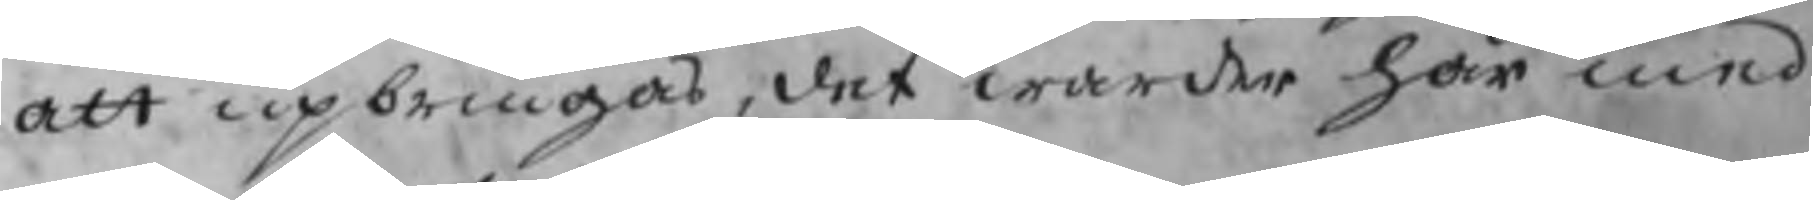att upbringas, det warde här med
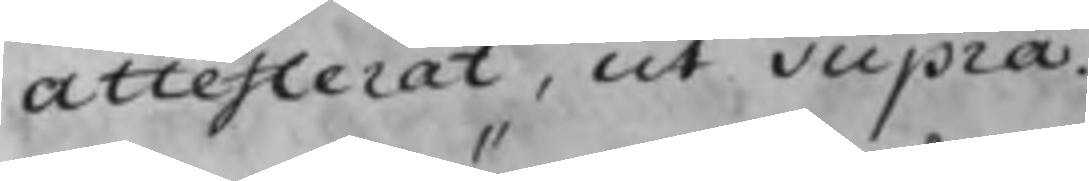attesterat, ut supra.
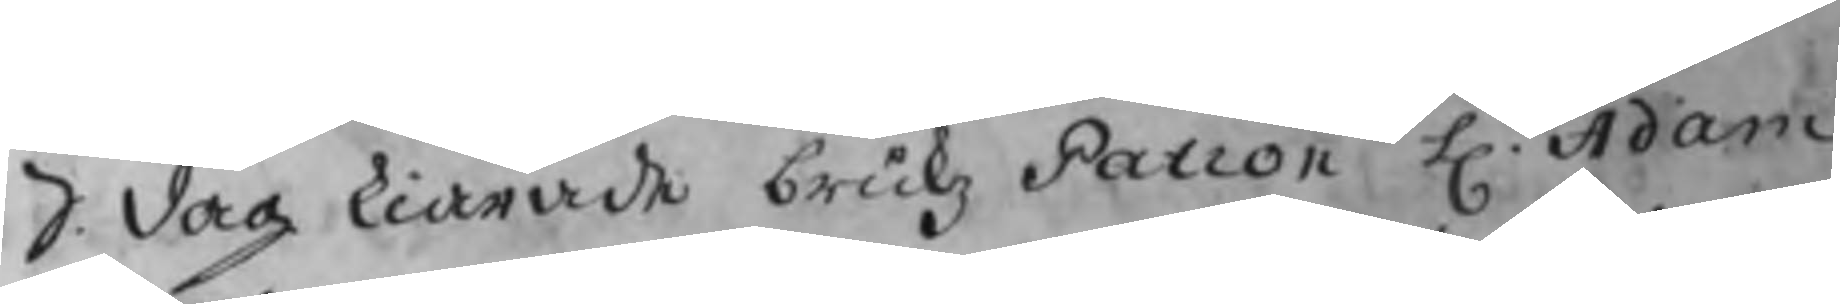S. dag kiärade brukz Patron H. Adam
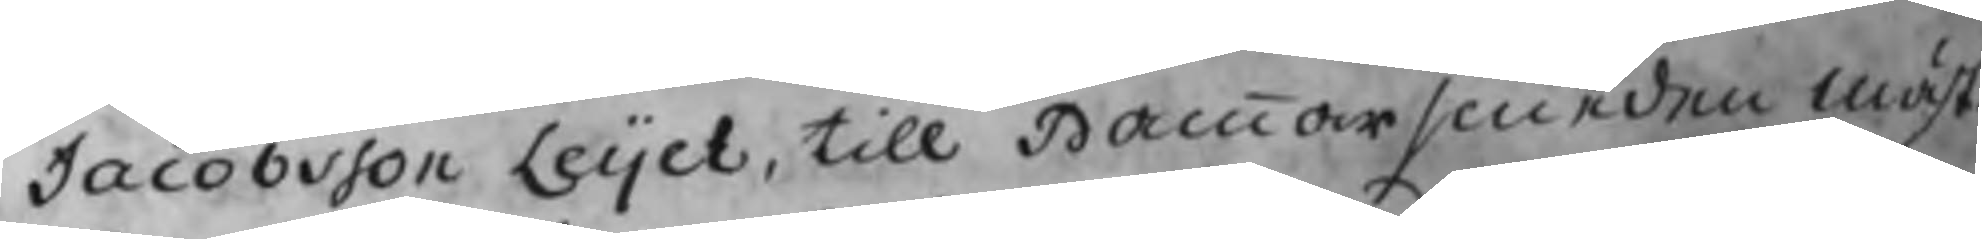Jacobsson Leijel, till Hammarsmeden mäst.
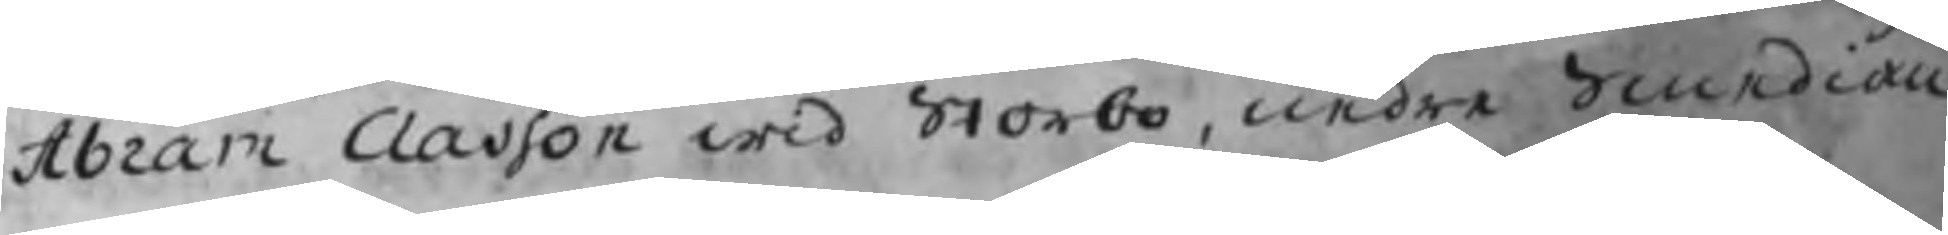Abram Classon wid Storbo, nedre Smedian
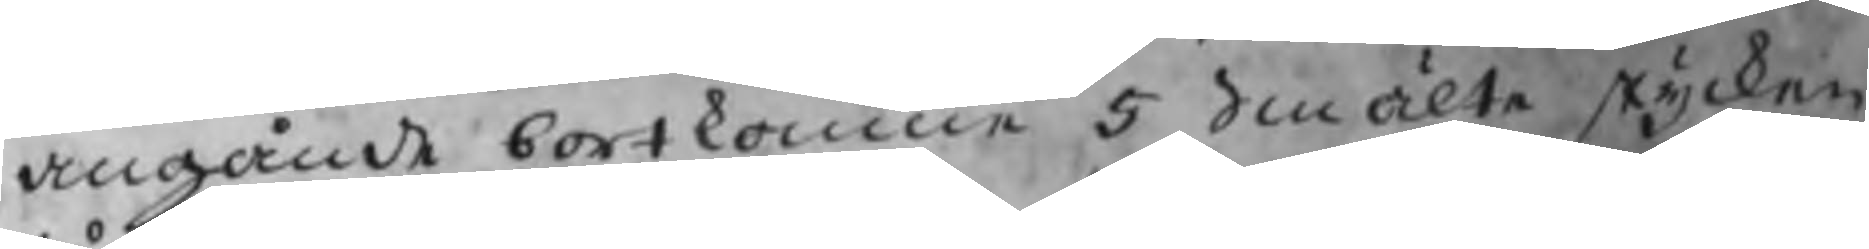angående bortkomne 5 Smälte stycken
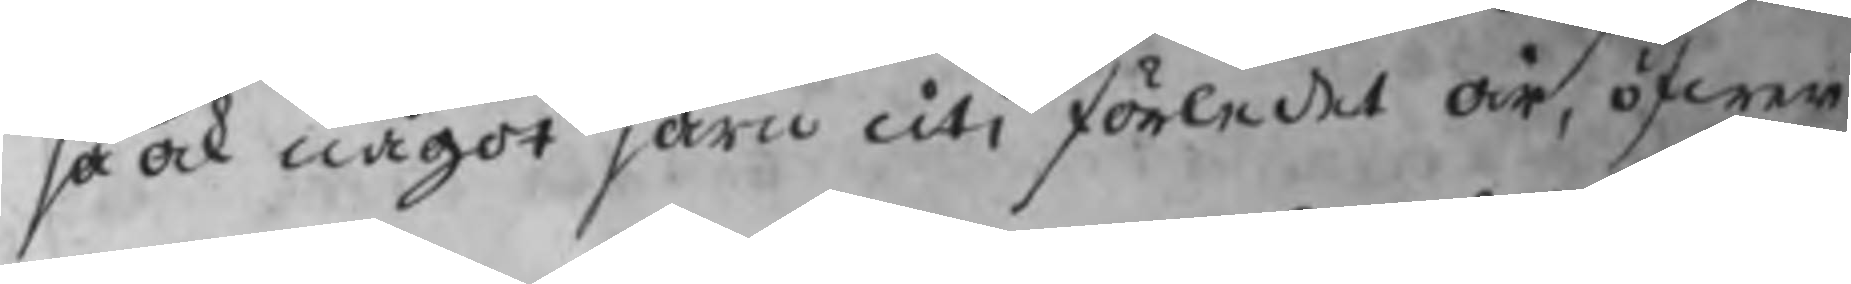så ock något järn uti förledet år, öfwer
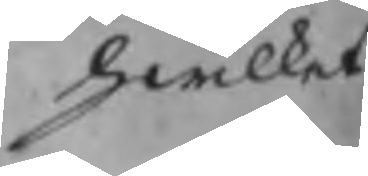hwilket
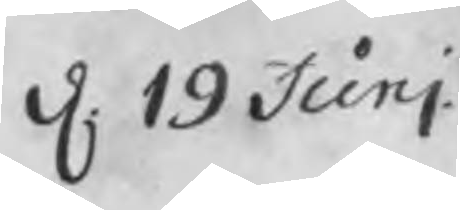d. 19 Junj
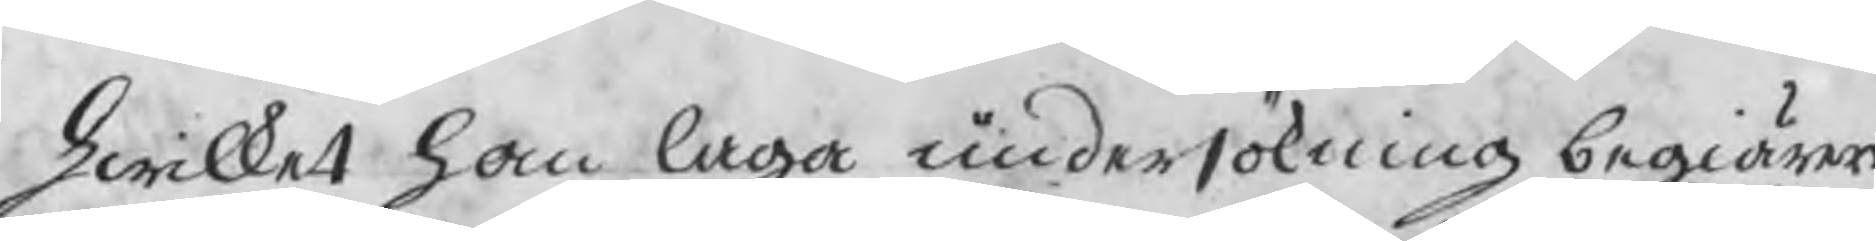hwilket han laga undersökning begiärer
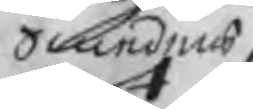Smedens
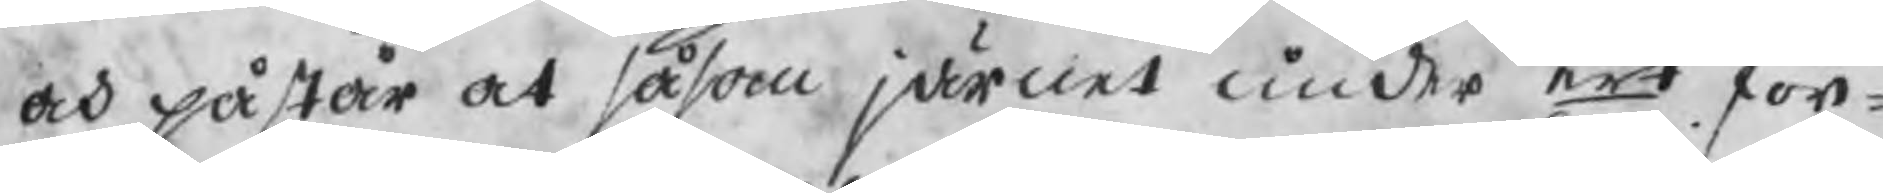och påstår at såsom järnet under ert för¬
